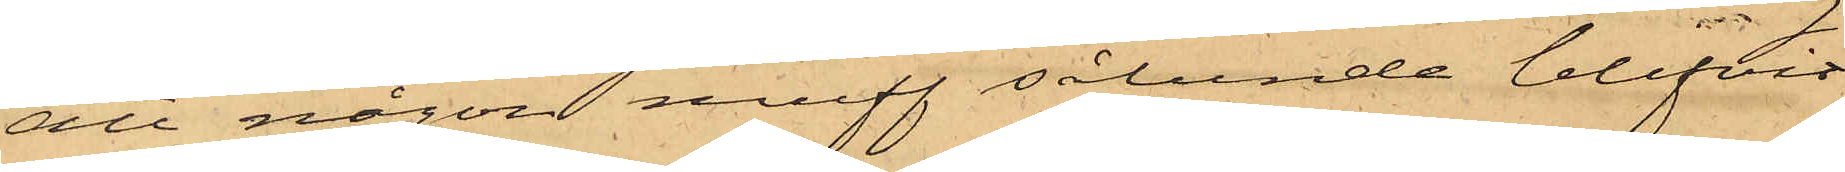att någon muff sålunda blifvit
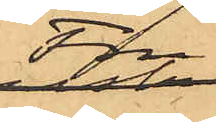Fru
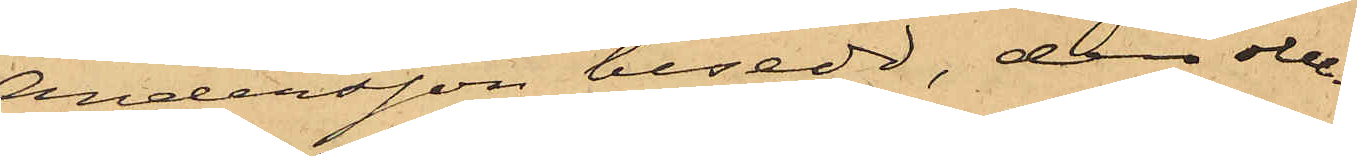Andersson besedd, den obe¬
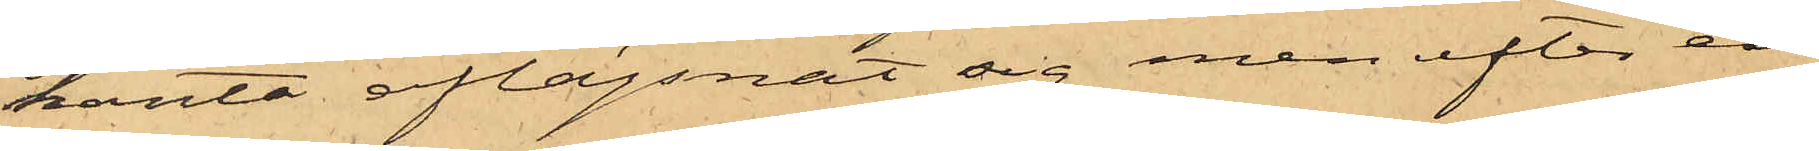kanta aflägsnat sig men efter en
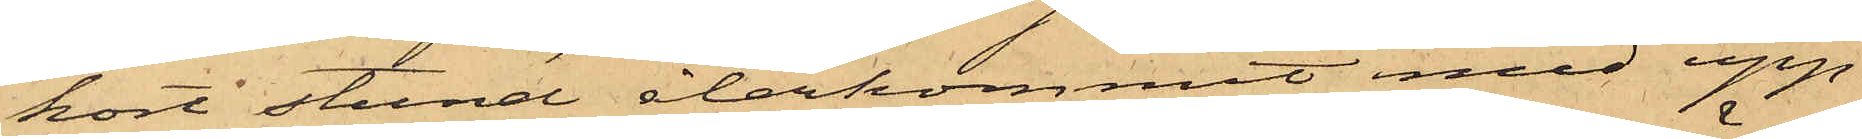kort stund återkommit med upp¬
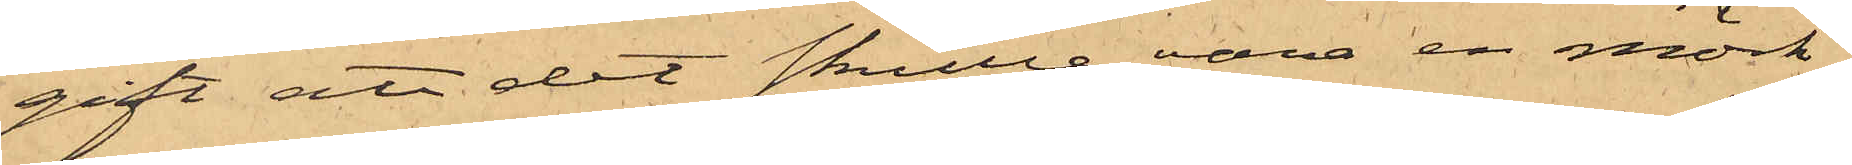gift att det skulle vara en mörk
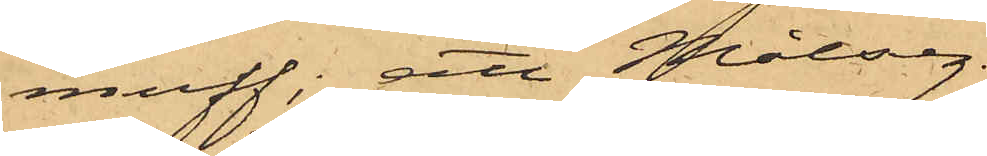muff; att Målseg.
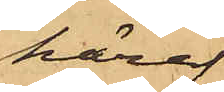häref¬
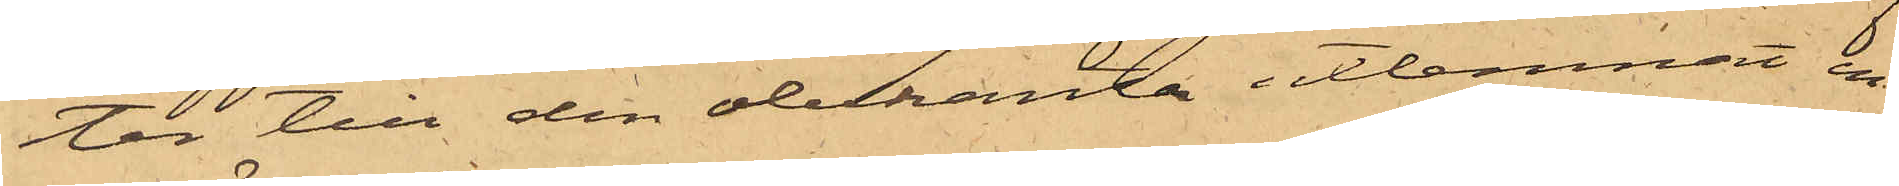ter till den obekanta utlemnat en
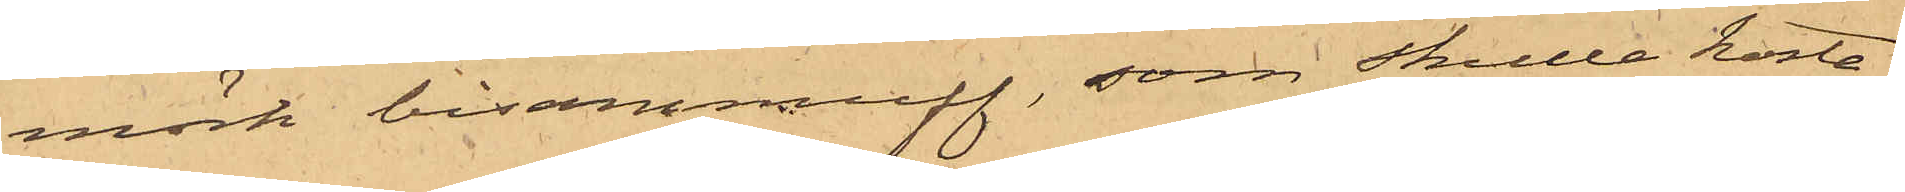mörk bisammuff, som skulle kosta
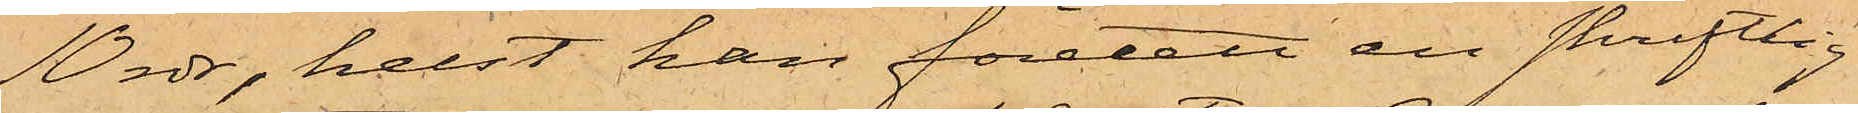10 rdr, helst han företett en skriftlig
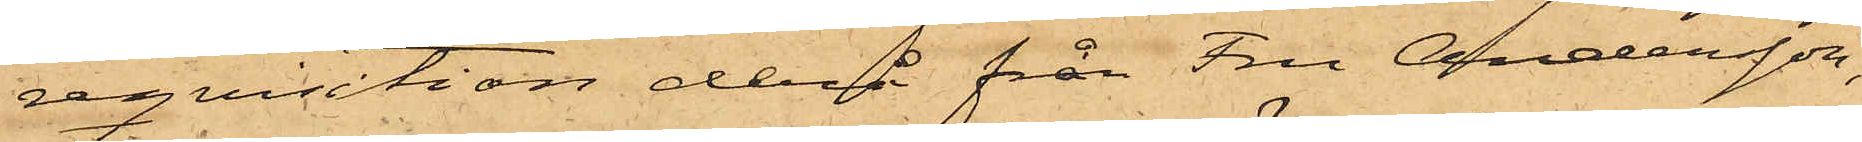reqvisition derå från Fru Andersson,
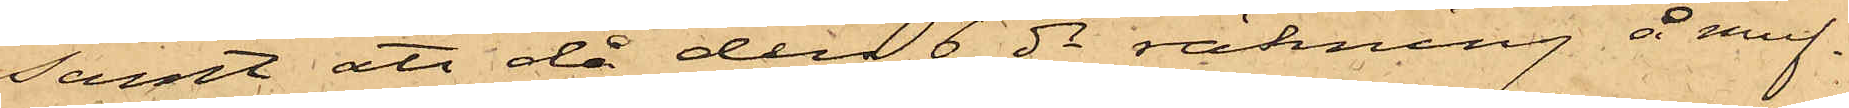samt att då den 6 ds räkning å muf¬
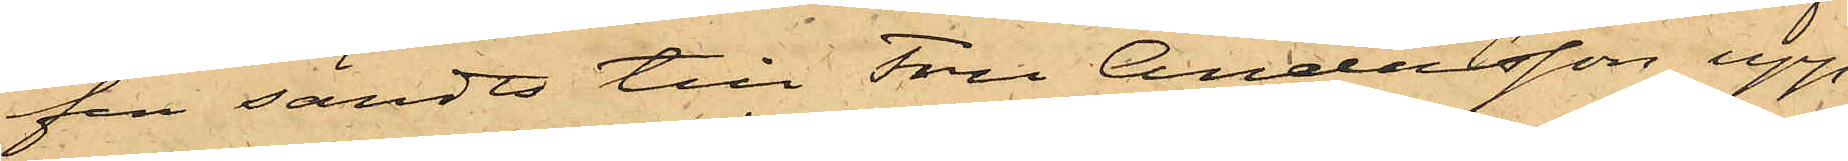fen sändts till Fru Andersson upp¬
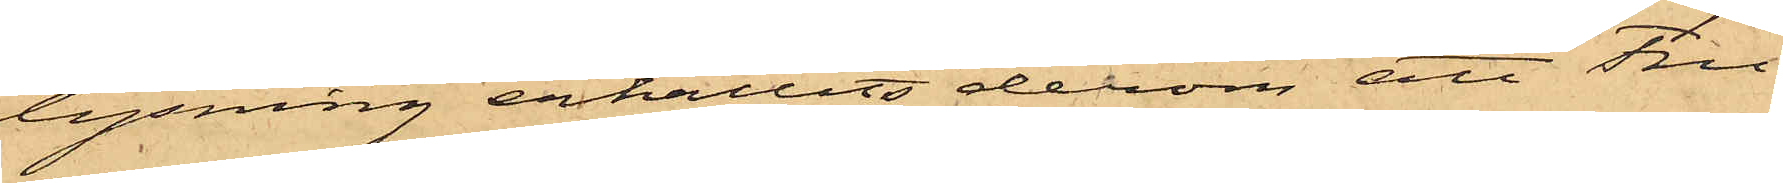lysning erhållits derom att Fru
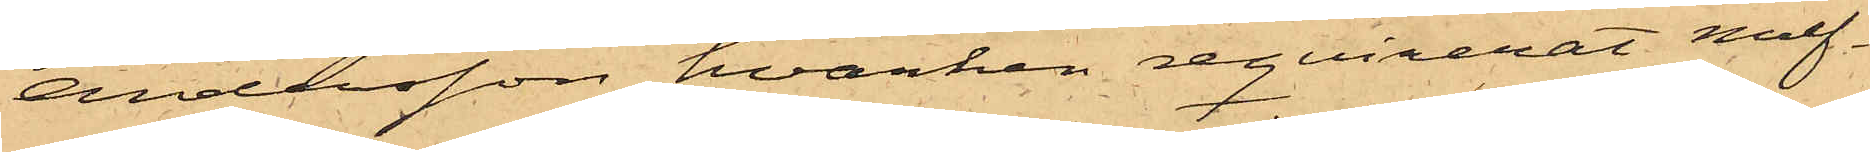Andersson hvarken reqvirerat muf¬
